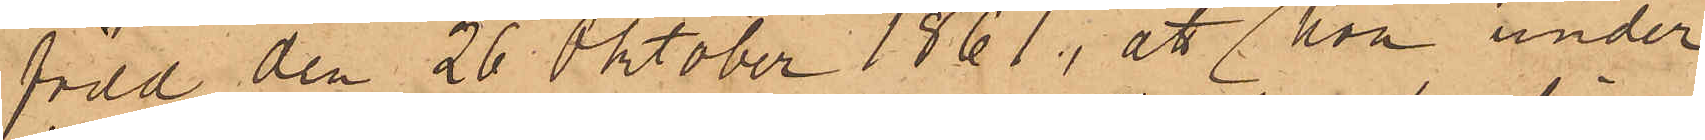född den 26 Oktober 1861; att hon under
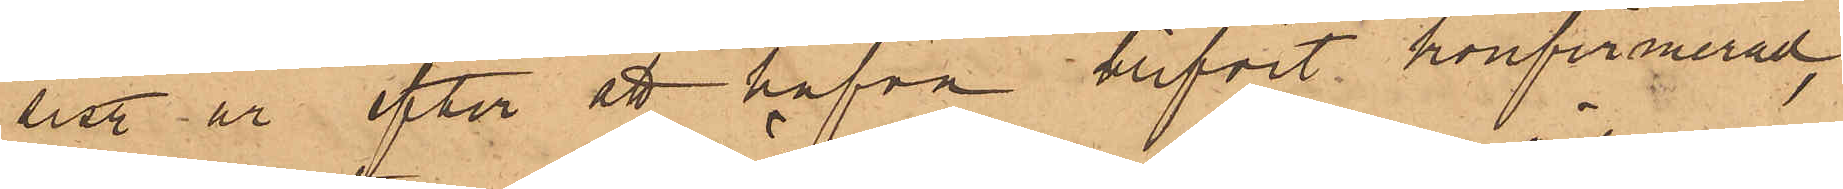sist. år efter ett hafva blifvit konfirmerad,
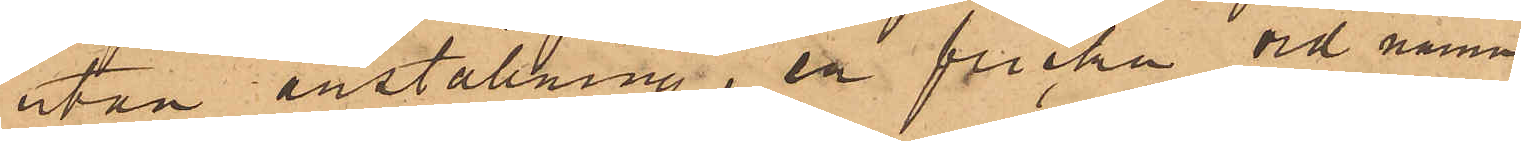varit utan anställning, en flicka vid namn
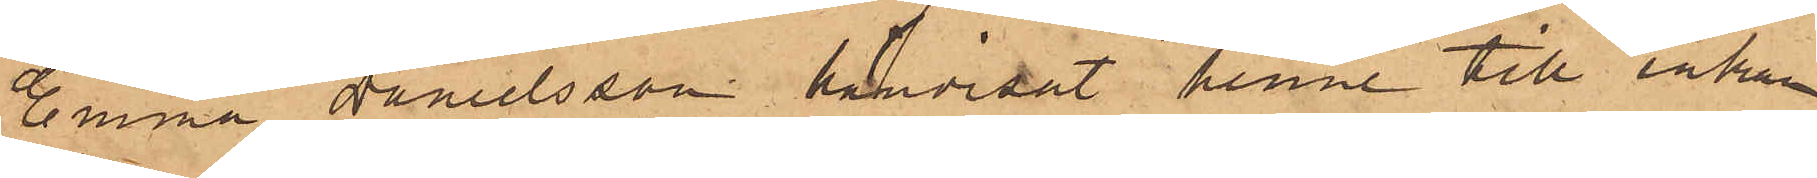Emma Danielsson hänvisat henne till enkan
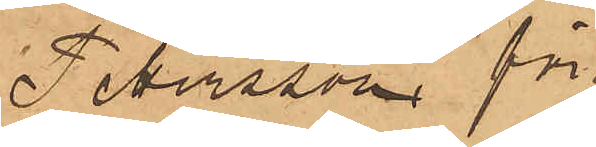Petersson för¬
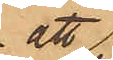att
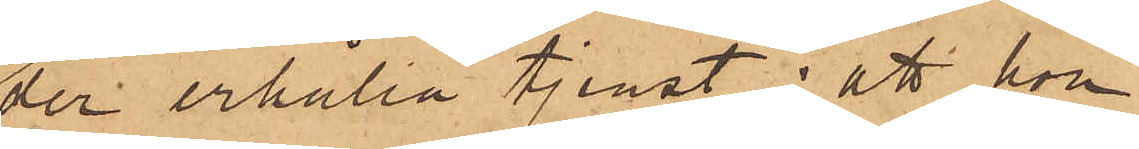der erhålla tjenst; att hon
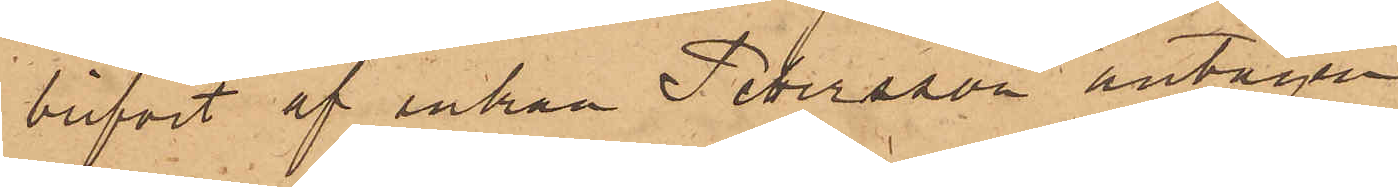blifvit af enkan Petersson antagen
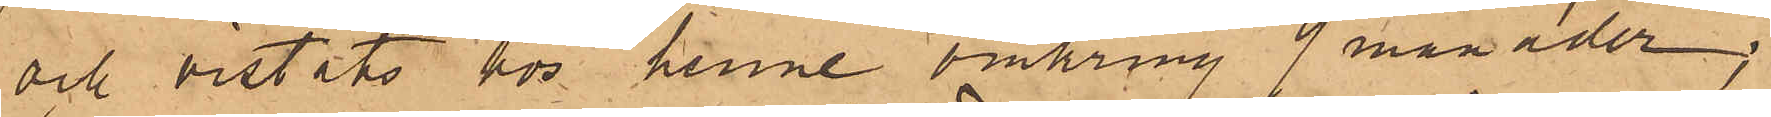och vistats hos henne omkring 9 månader;
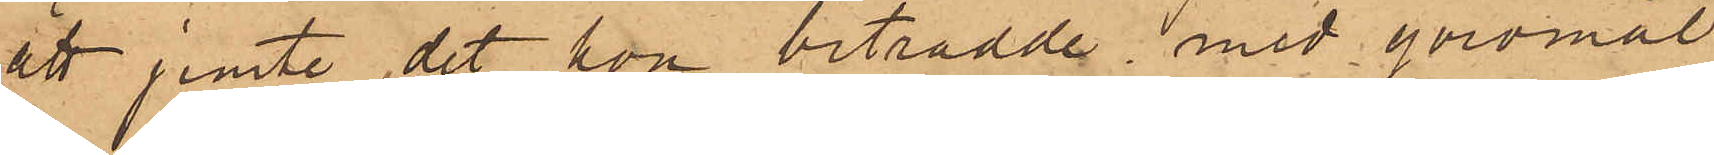att jemte det hon biträdde med göromål
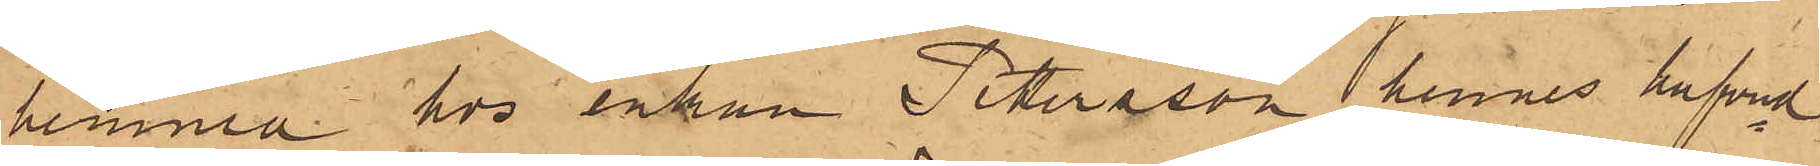hemma hos enkan Pettersson, hennes hufvud¬
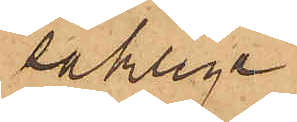sakliga
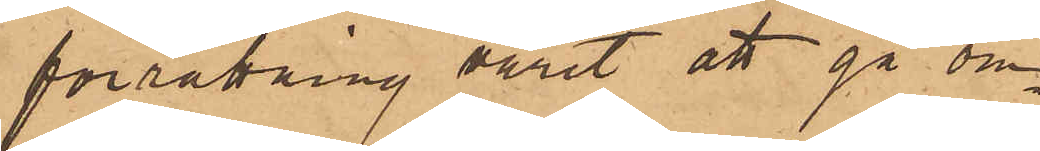förrättning varit att gå om¬
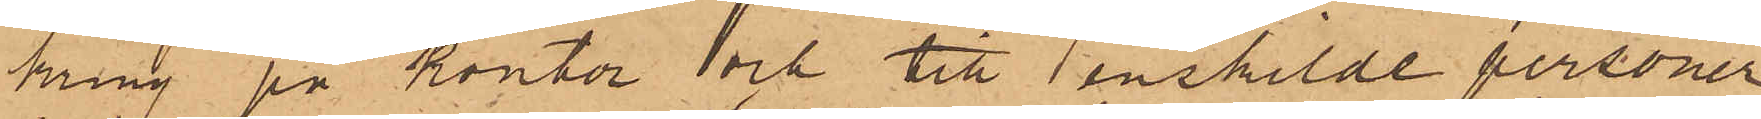kring på kontor och till enskilde personer
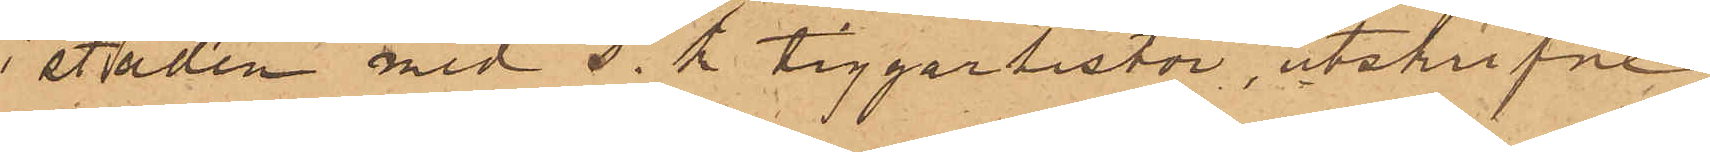i staden med s. k. tiggarlistor, utskrifne
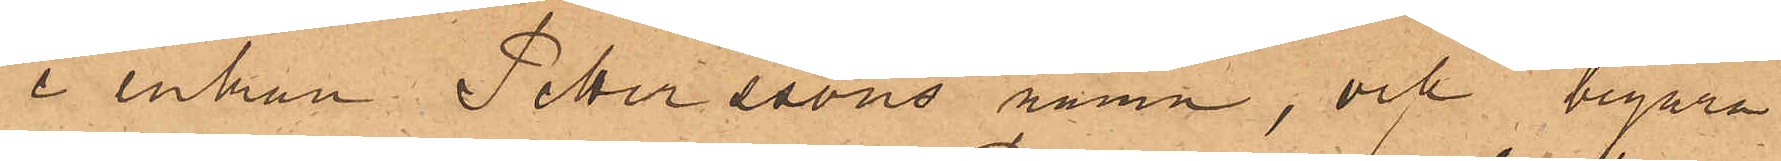i enkan Petterssons namn; och begära
